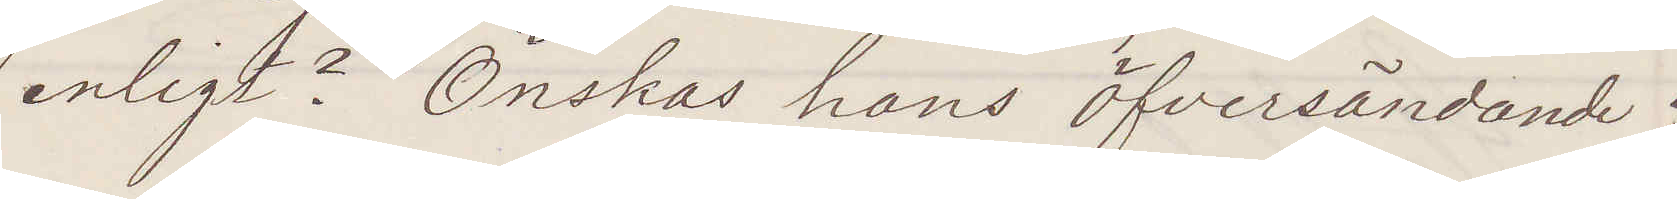enligt? Önskas hans öfversändande?
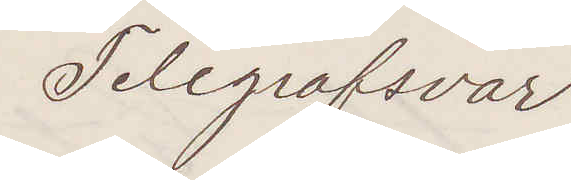Telegrafsvar
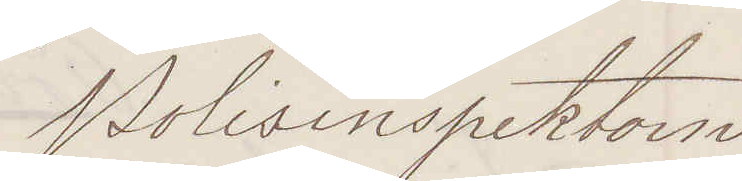Polisinspektorn
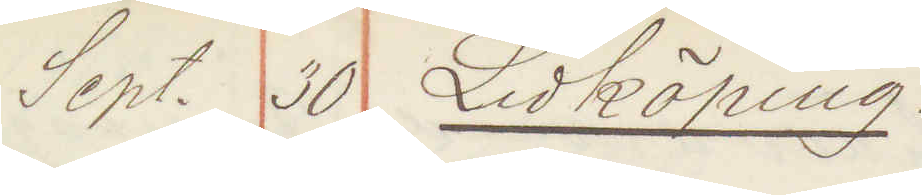Sept. 30 Lidköping:
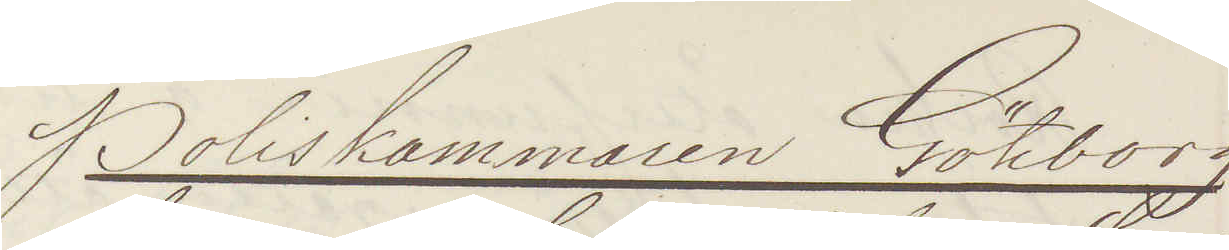Poliskammaren Göteborg
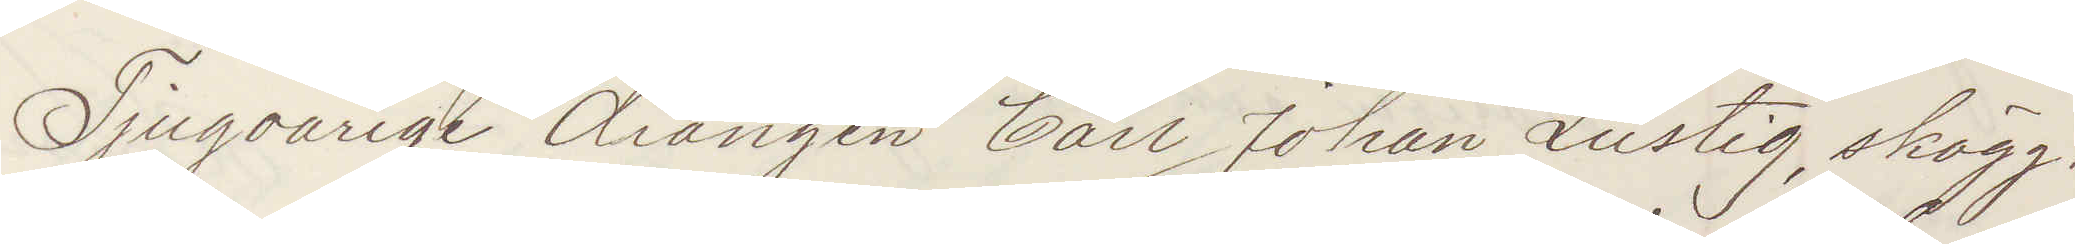Tjugoårige drängen Carl Johan Lustig, skägg¬
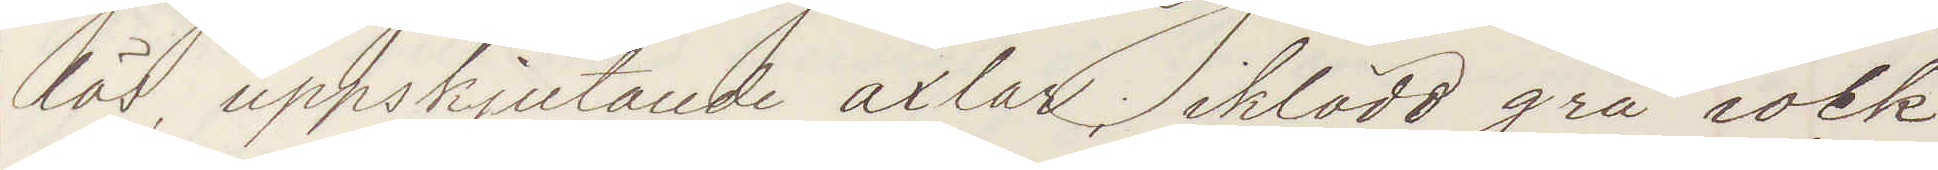lös, uppskjutande axlar; iklädd frå rock
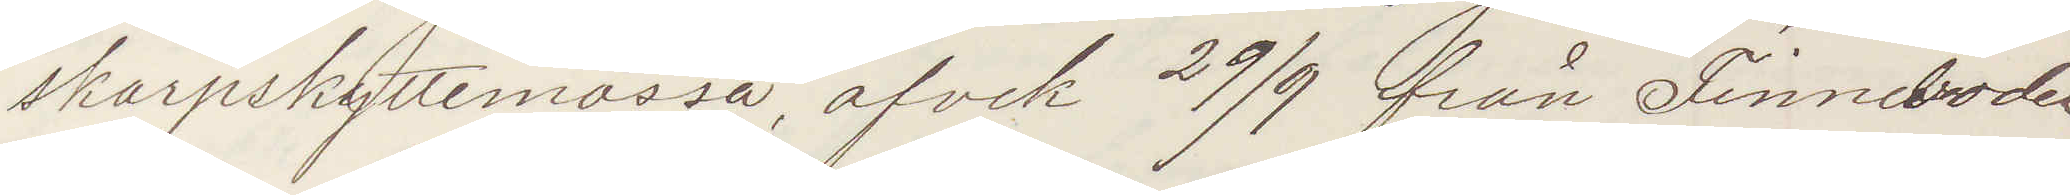skarpskyttemössa, afvek 29/9 från Finnedalen
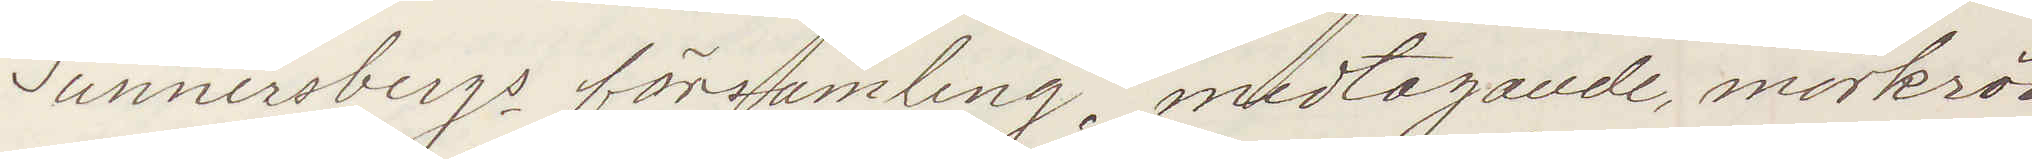Sunnersbergs församling, medtagande, mörkröd
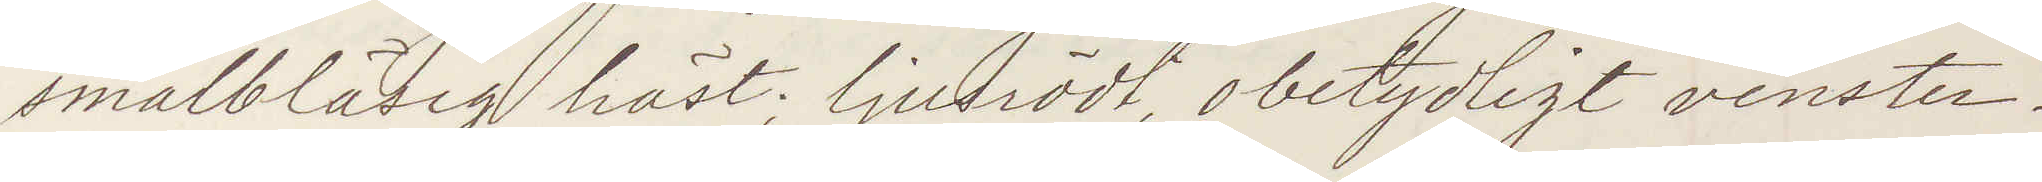smalbläsig häst; ljusrödt obetydligt venster¬
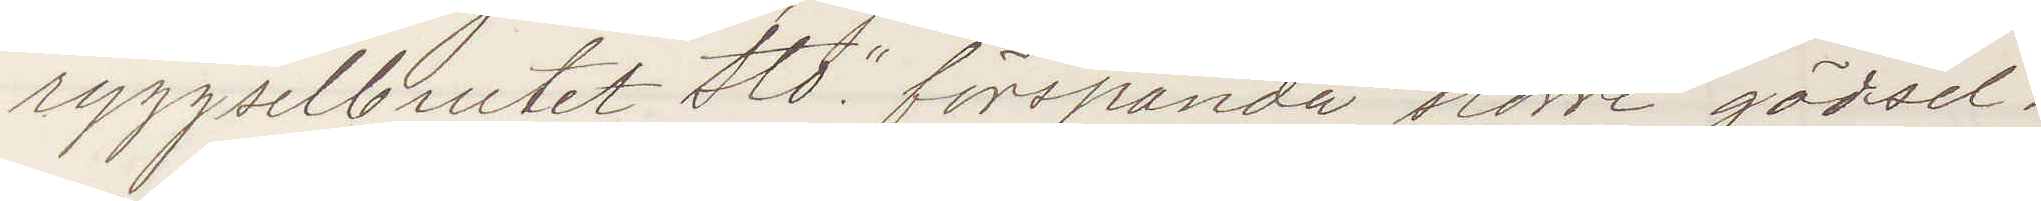ryggselbrutet sto förspända större gödsel¬
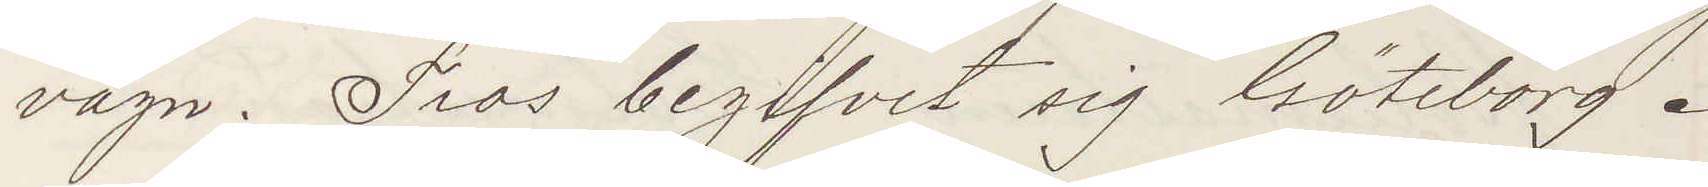vagn. Tros begifvit sig Göteborg.
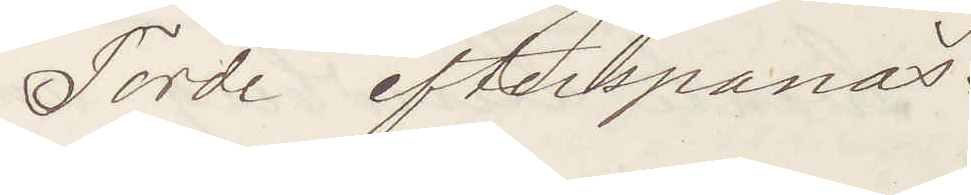Torde efterspanas.
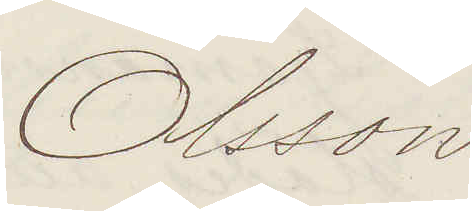Olsson
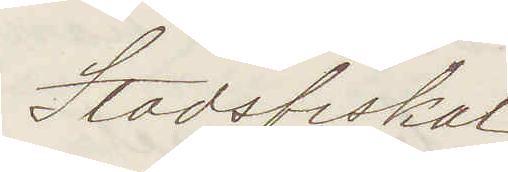Stadsfiskal
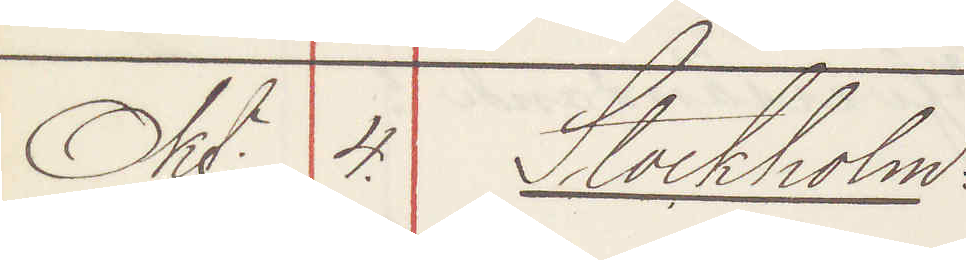Okt: 4. Stockholm
